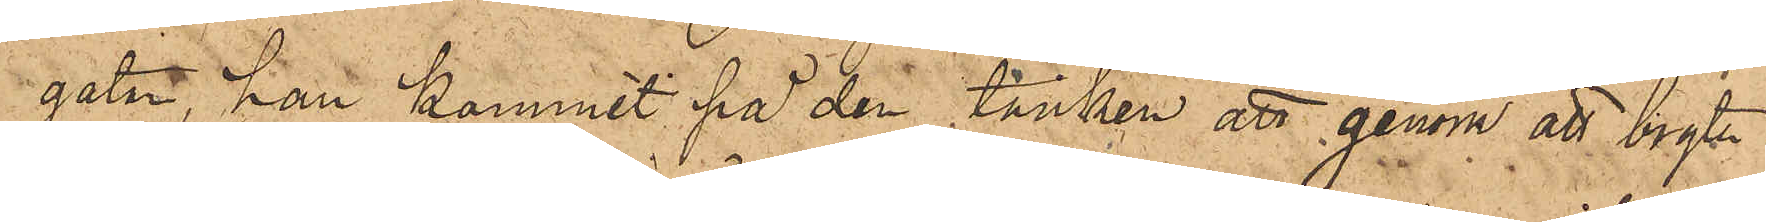gatan, han kommit på den tanken att genom att bryta
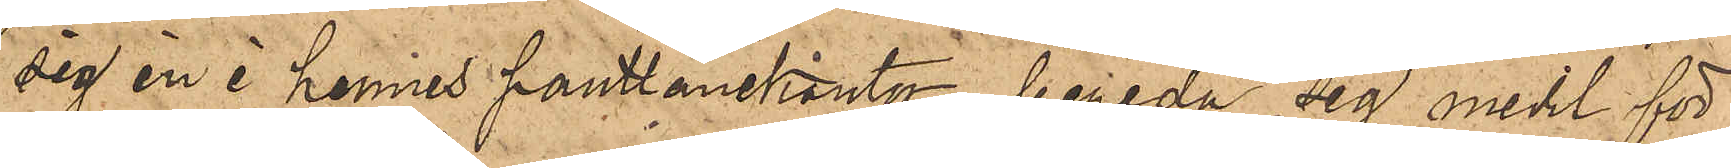sig in i hennes pantlånekontor, bereda sig medel för
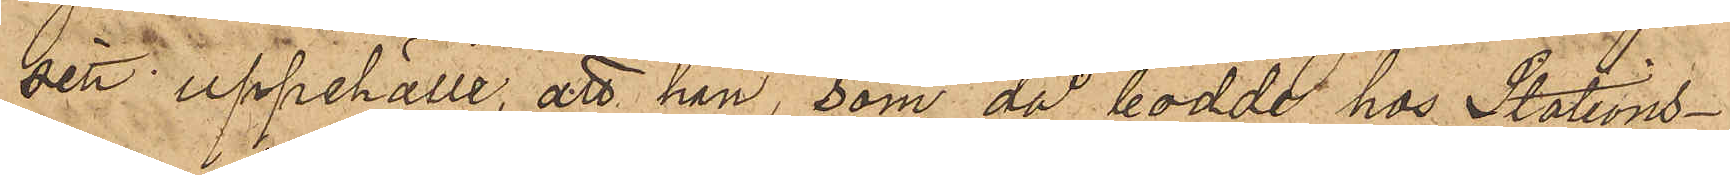sitt uppehälle, att han, som då bodde hos Stations¬
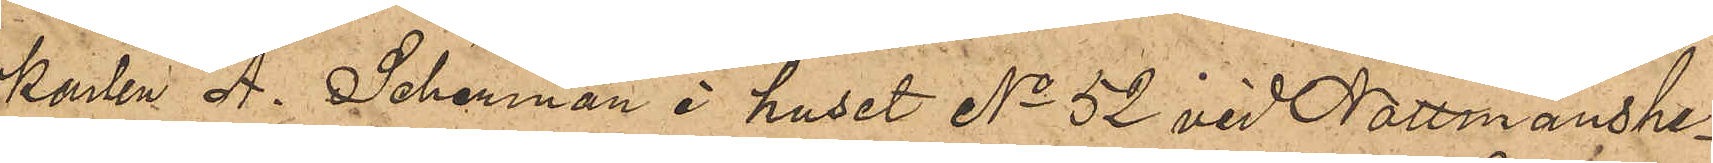karlen A. Scherman i huset No 52 vid Nattmanshe¬
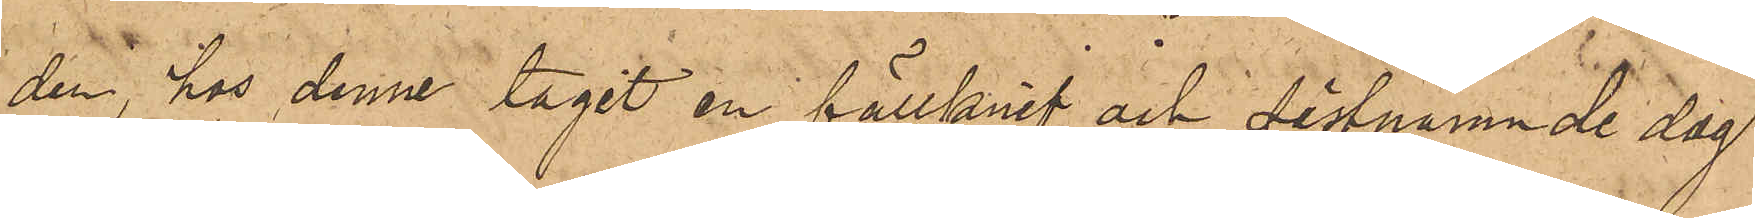den, hos denne tagit en fällknif och sistnämnde dag
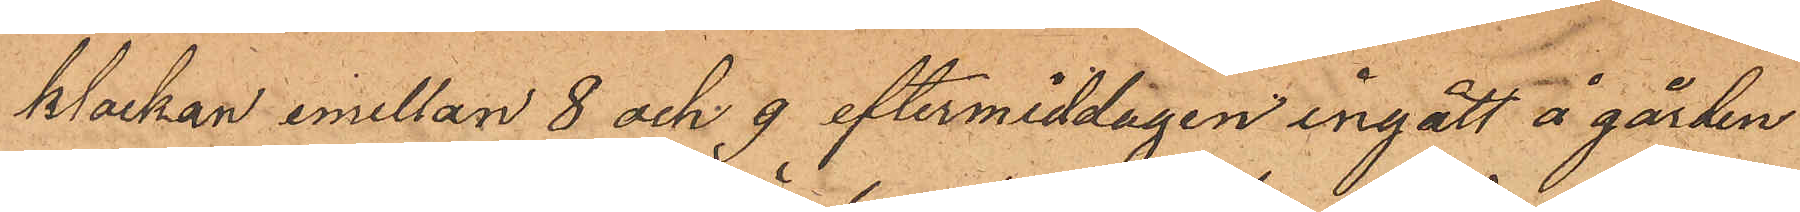klockan emellan 8 och 9 eftermiddagen ingått å gården
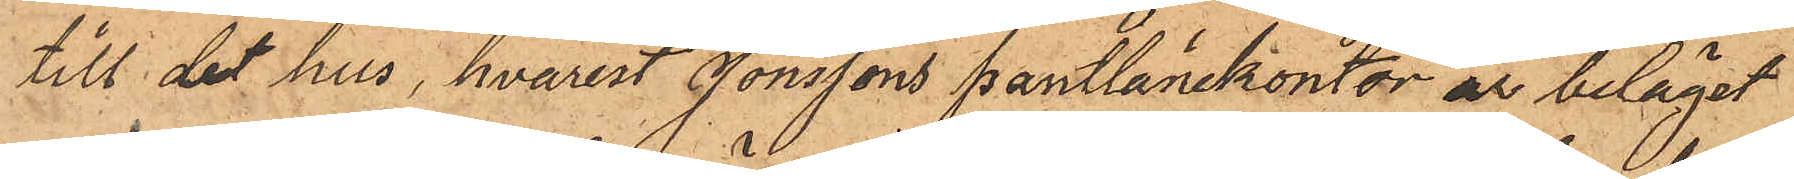till det hus, hvarest Jonssons pantlånekontor är beläget
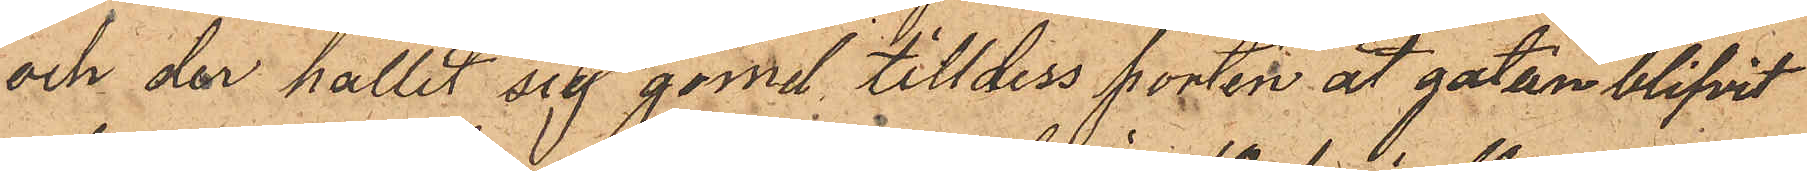och der hållit sig gömd till dess porten åt gatan blifvit
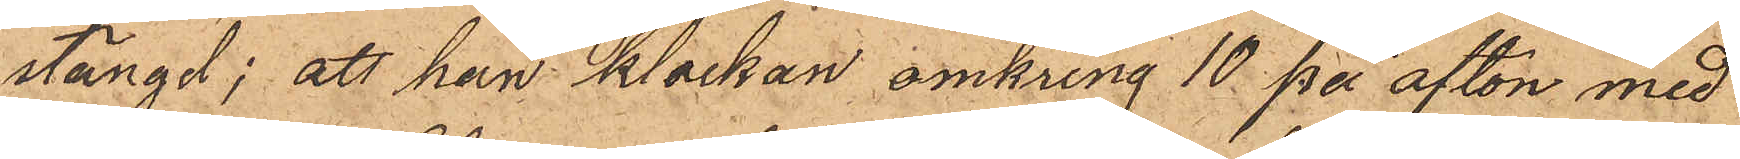stängd; att han klockan omkring 10 på afton med
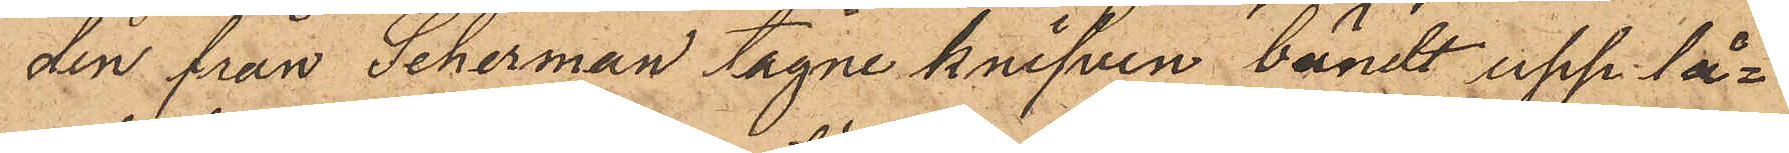den från Scherman tagne knifven bändt upp lå¬
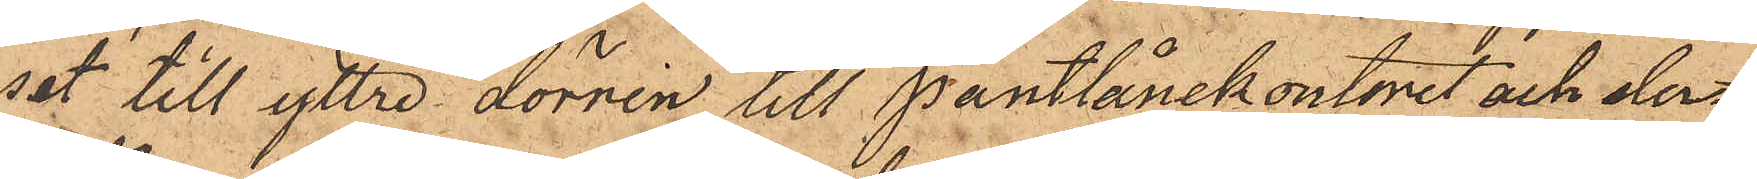set till yttre dörren till Pantlånekontoret och der¬
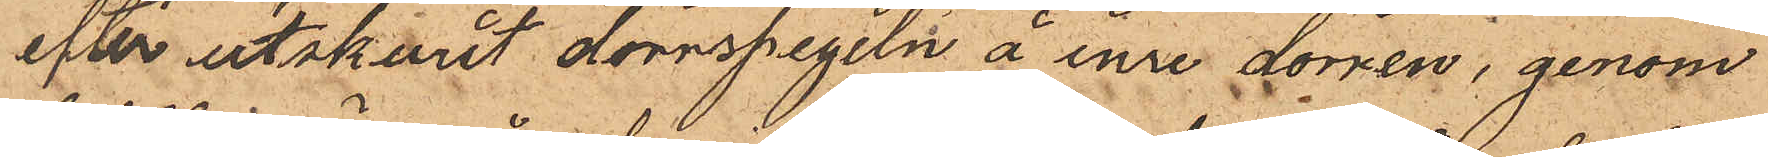efter utskurit dörrspegeln å inre dörren, genom
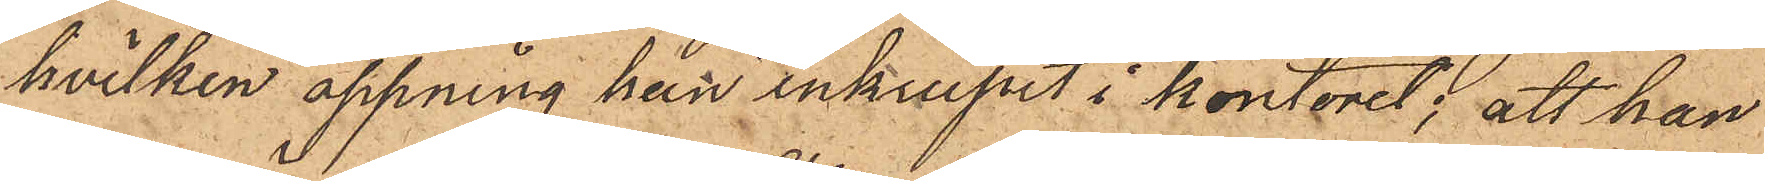hvilken öppning han inkrupit i kontoret; att han
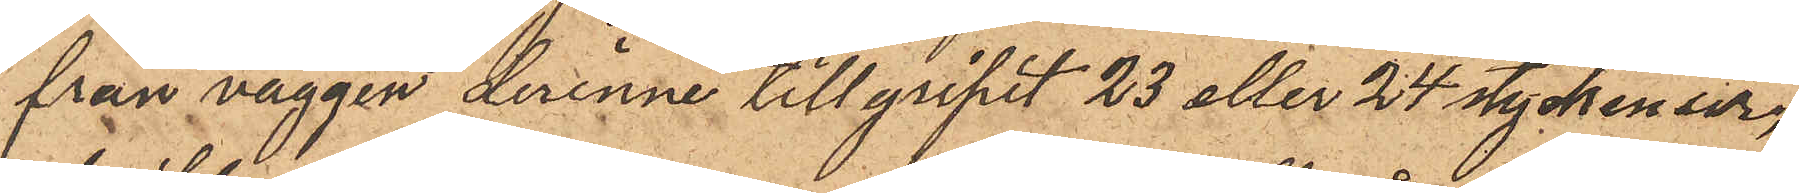från väggen derinne tillgripit 23 eller 24 stycken ur,
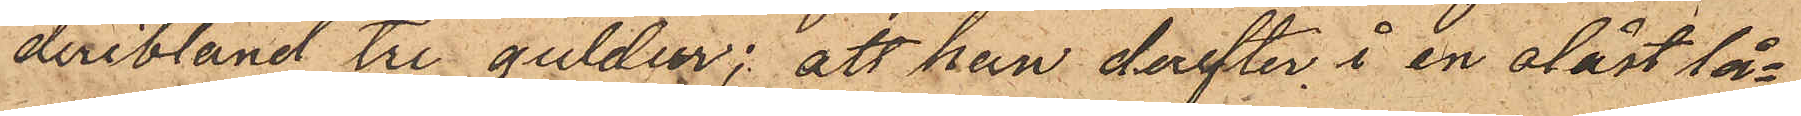deribland tre guldur; att han derefter i en olåst lå¬
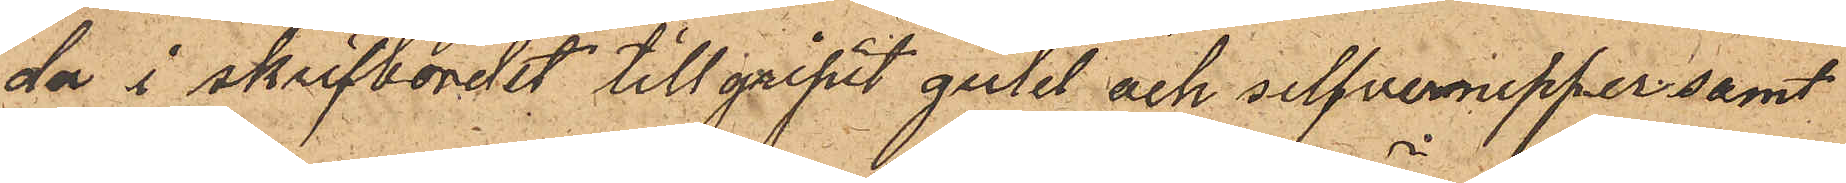da i skrifbordet tillgripit guld och silfvernipper samt
